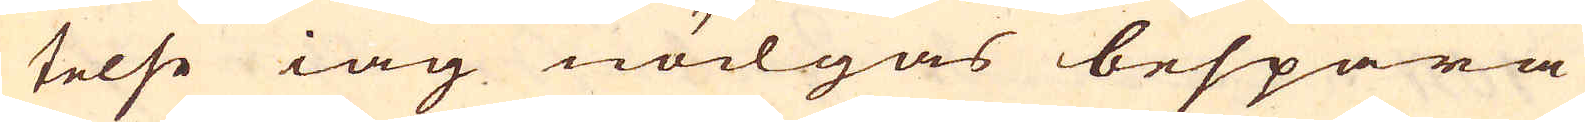telse iag nödgas bespara
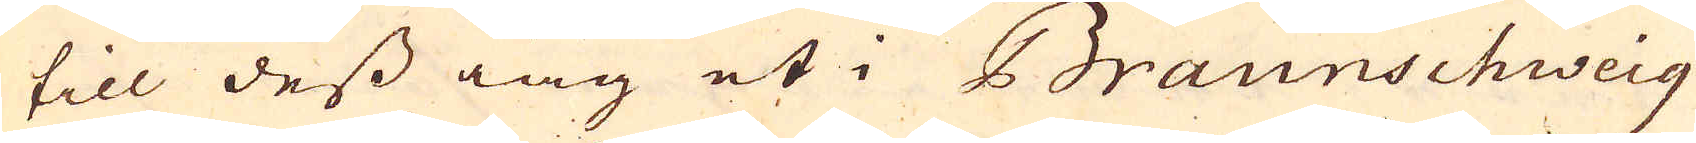till dess iag et i Braunschweig
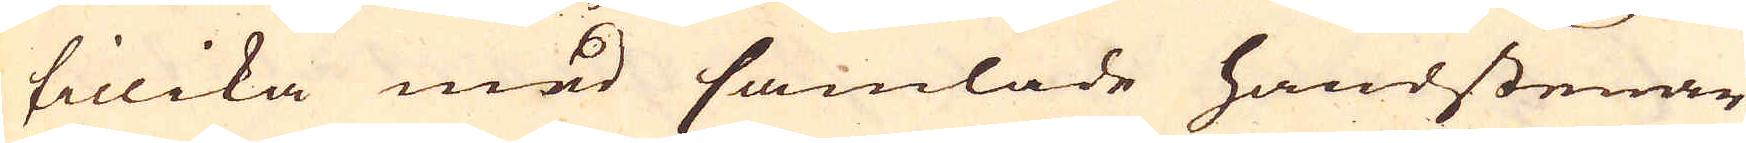tillika med samlade handstenar
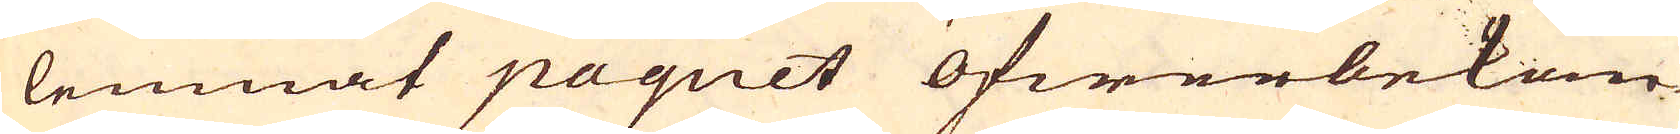lemnat paquet öfwerbekom-
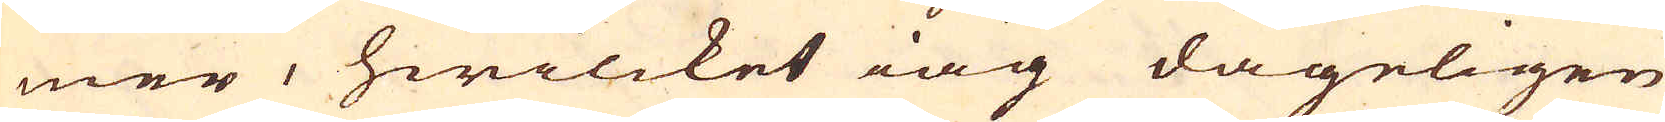mer, hwilcket iag dageligen
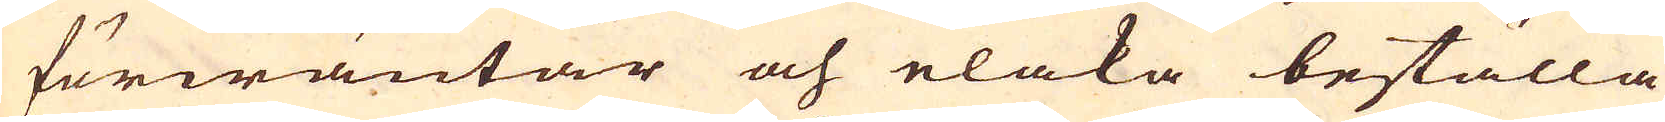förwäntar och elaka beställa-
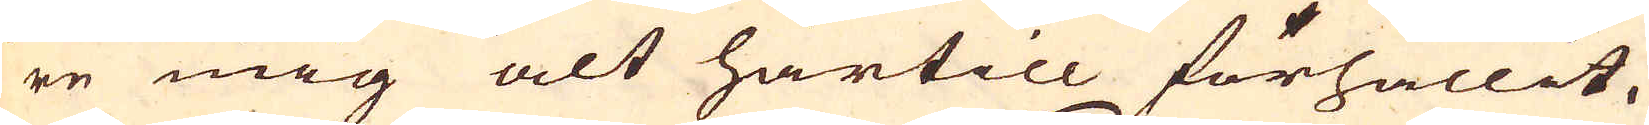re mig alt härtill förhållit.
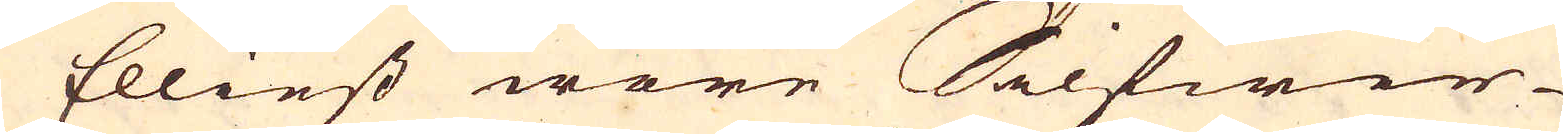Elliest wore Silfwer-
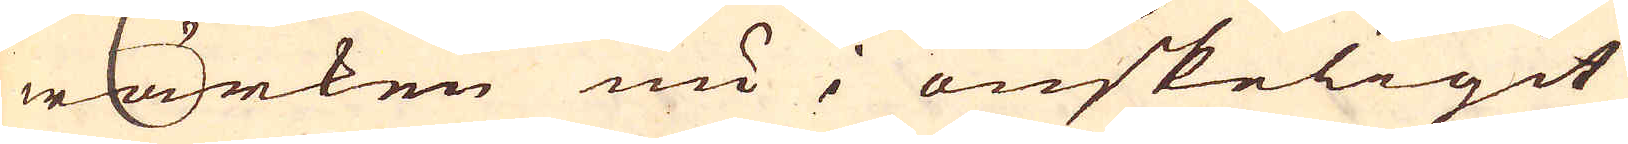wärken nu i önskeligit
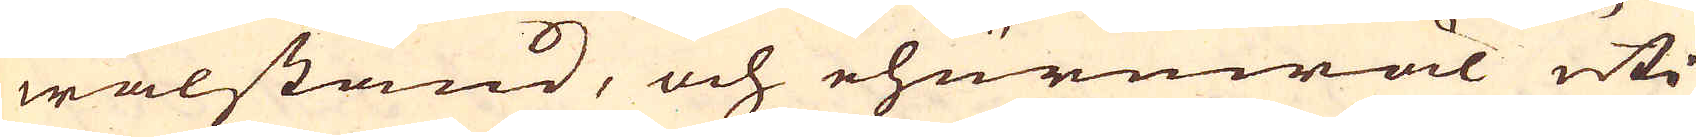wälstånd, och ehuruwäl uti
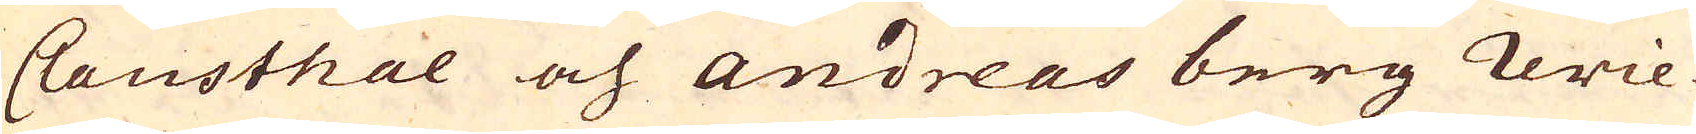Clausthal och Andreas berg revie-
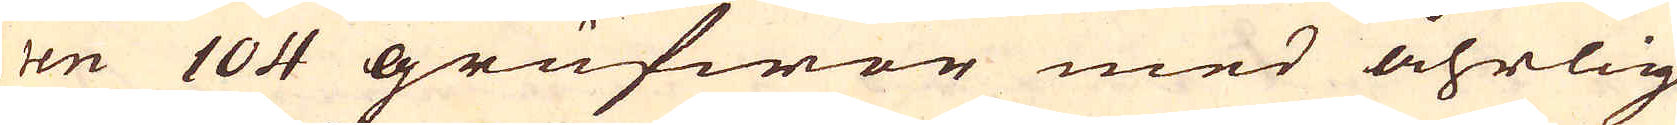ren 104 grufwor med åhrlig
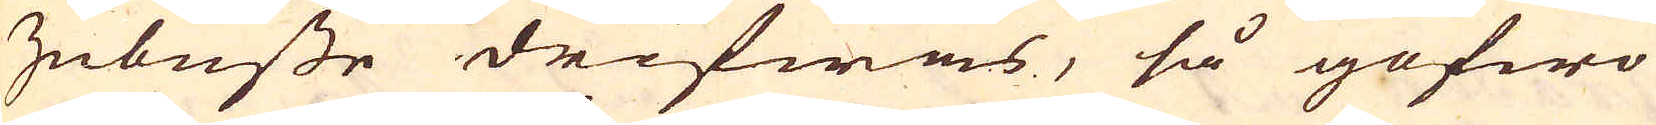Zubüsse drifwas, så gofwo
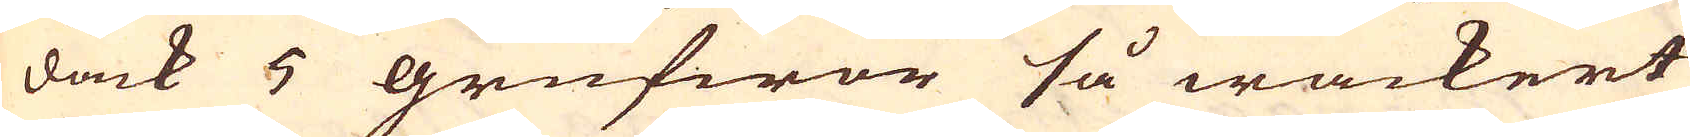dåck 5 grufwor så wackert
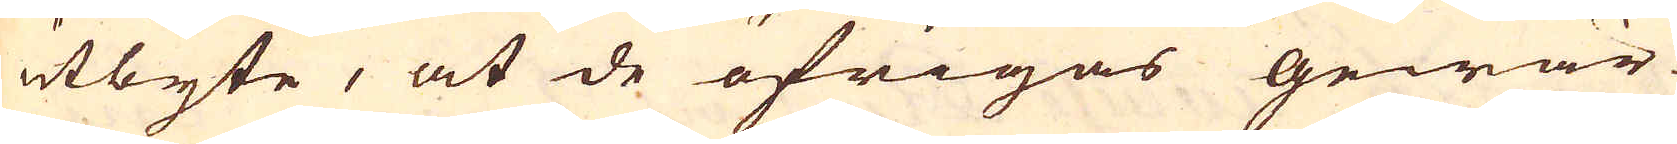utbyte, at de öfrigas gewär-
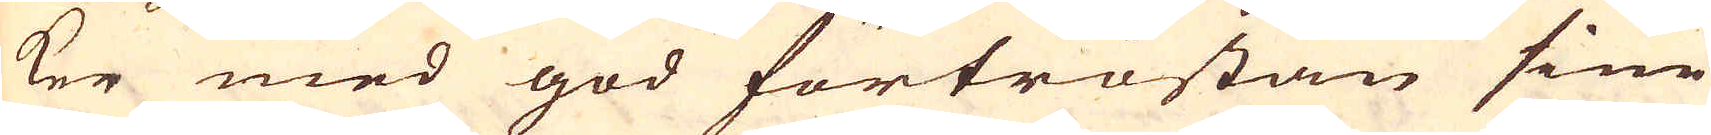ker med god förtröstan sine
